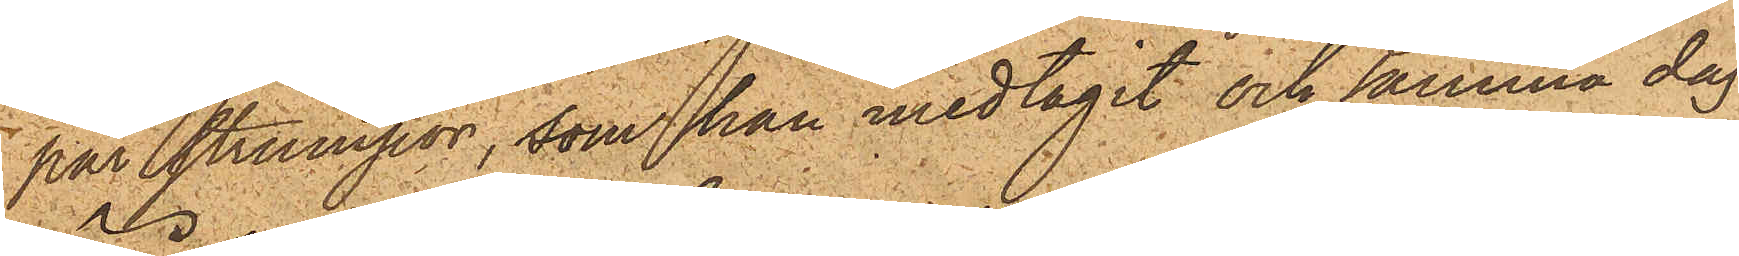par strumpor, som han medtagit och samma dag
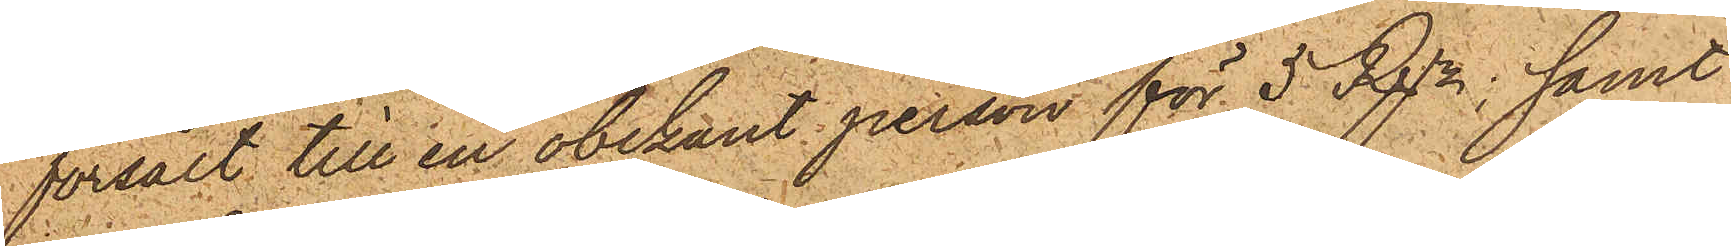försålt till en obekant person för 5 Rdr; samt
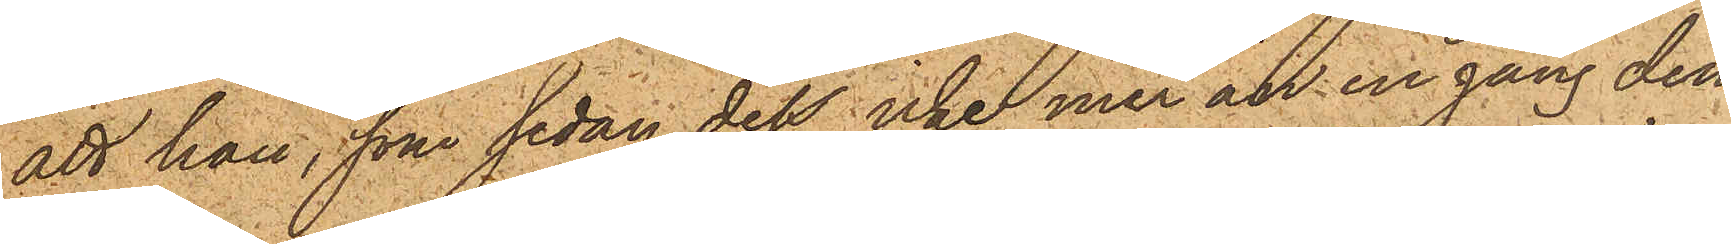att han, som sedan dess icke mer än en gång den
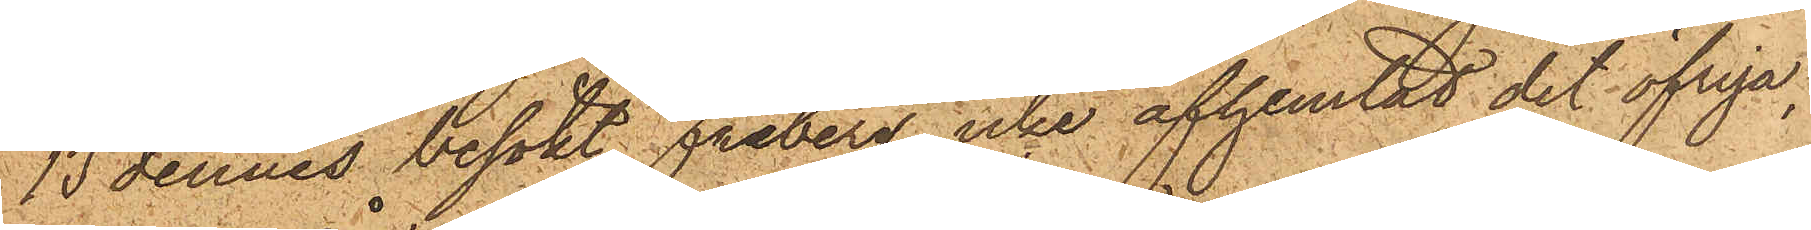13 dennes besökt Friberg, icke afhemtat det öfriga,
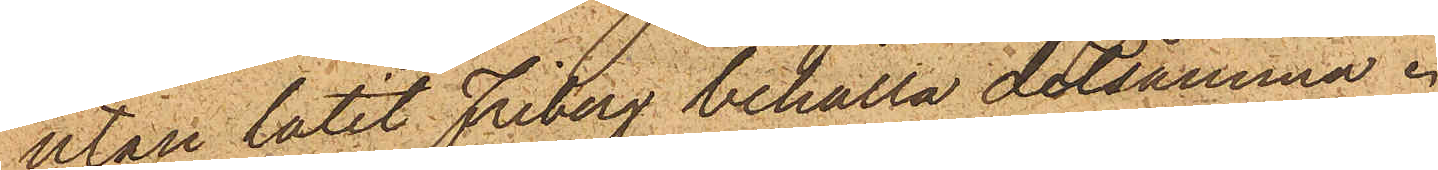utan låtit Friberg behålla detsamma.
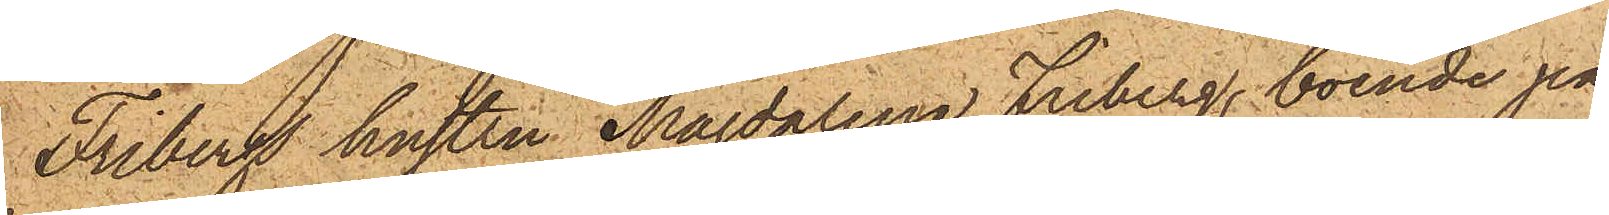Fribergs hustru Magdalena Friberg, boende på
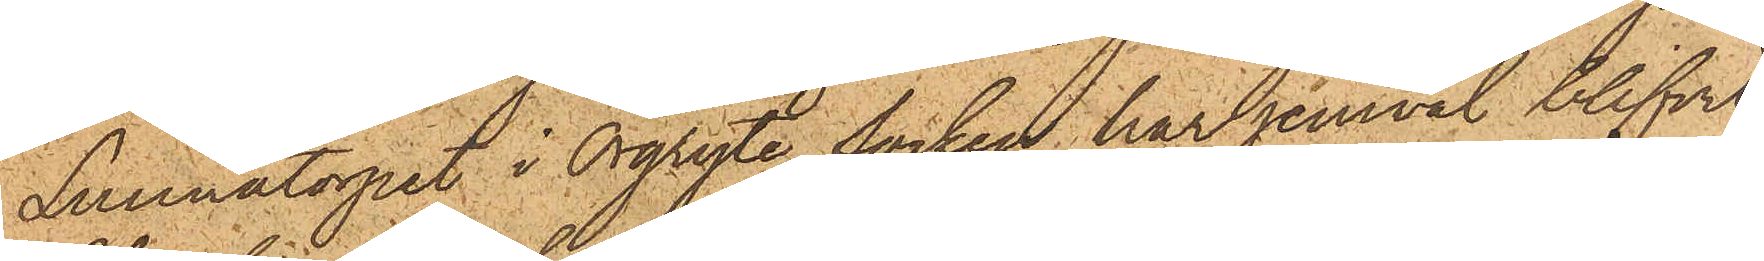Lunnatorpet i Örgryte Socken har jemväl blifvit
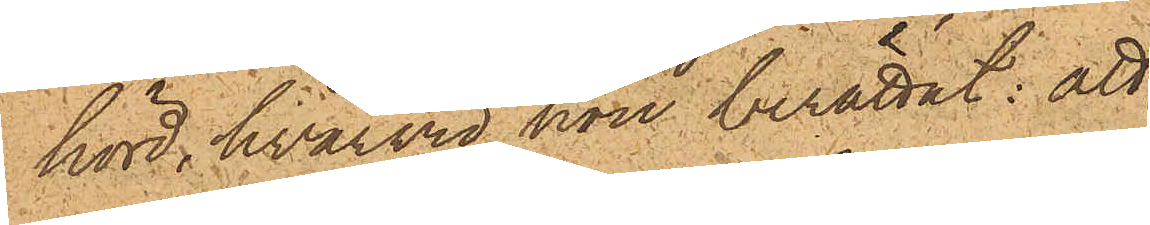hörd, hvarvid hon berättat: att
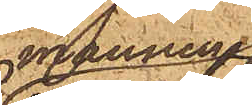mannen
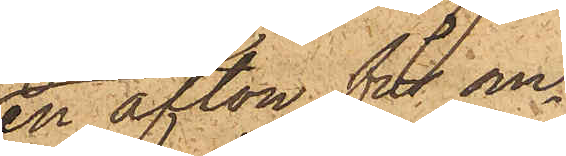en afton för om¬
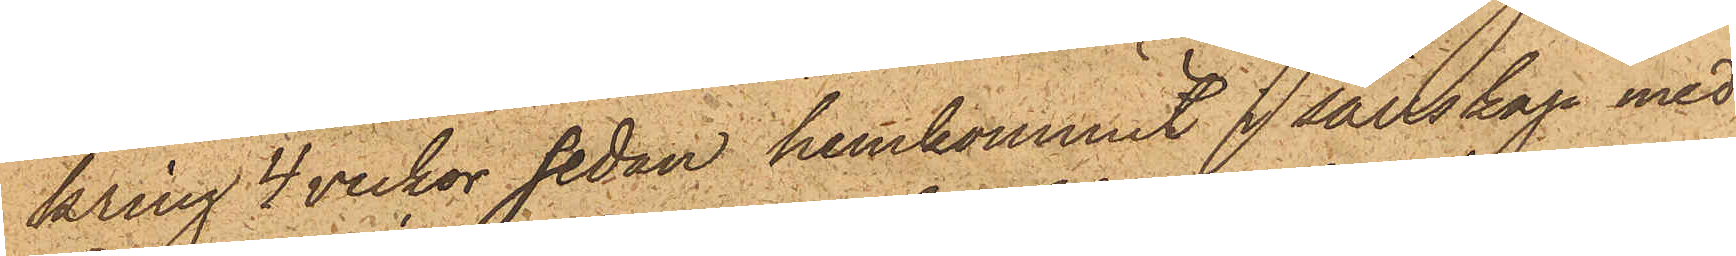kring 4 veckor sedan hemkommit i sällskap med
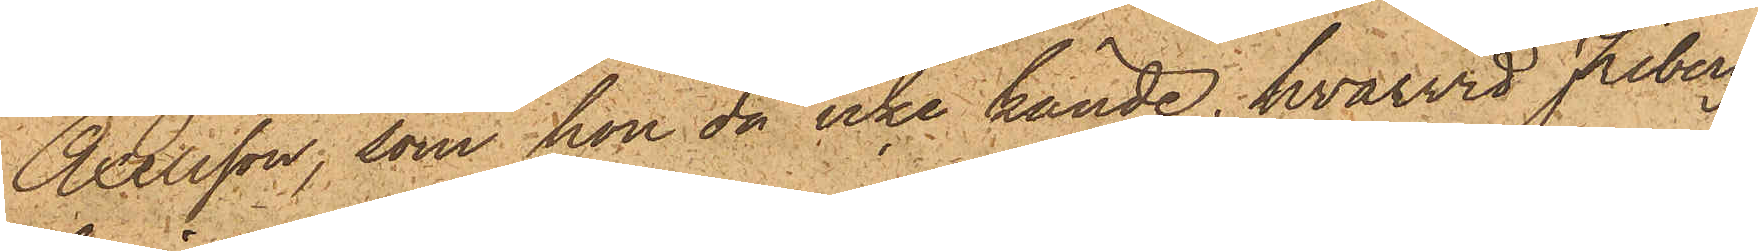Axelsson, som hon då icke kände, hvarvid Friberg
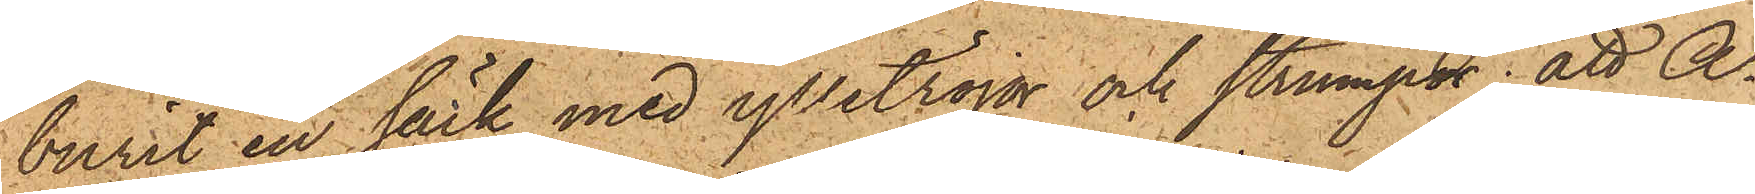burit en säck med ylletröjor och strumpor; att A¬
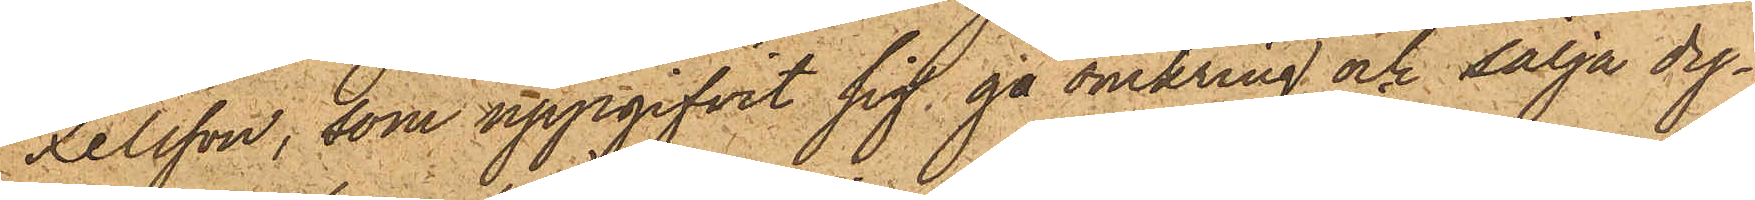xelsson, som uppgifvit sig gå omkring och sälja dy¬
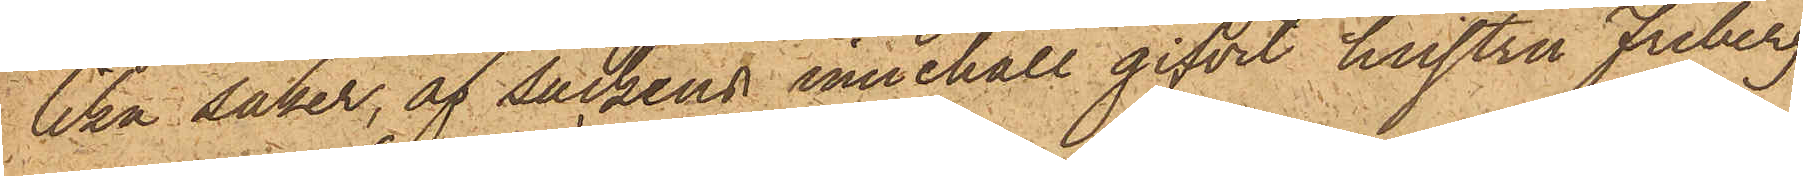lika saker, af säckens innehåll gifvit hustru Friberg
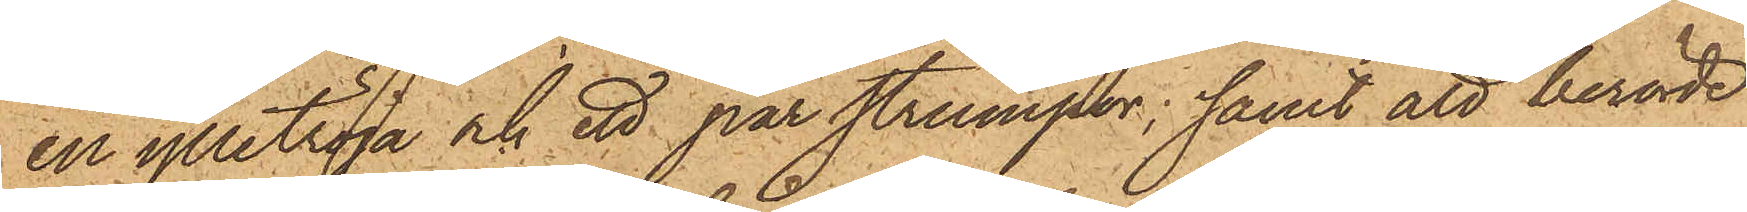en ylletröja och ett par strumpor; samt att berörde
